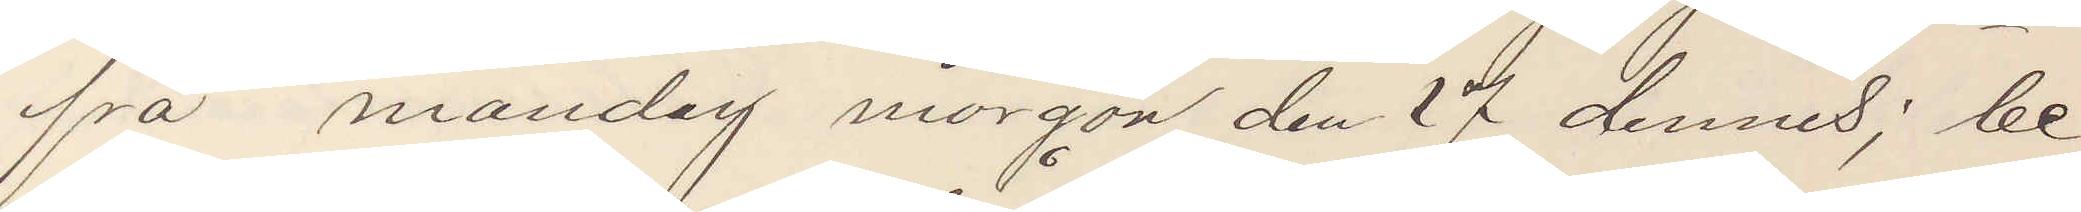fra mandag morgon den 17 dennes; be¬
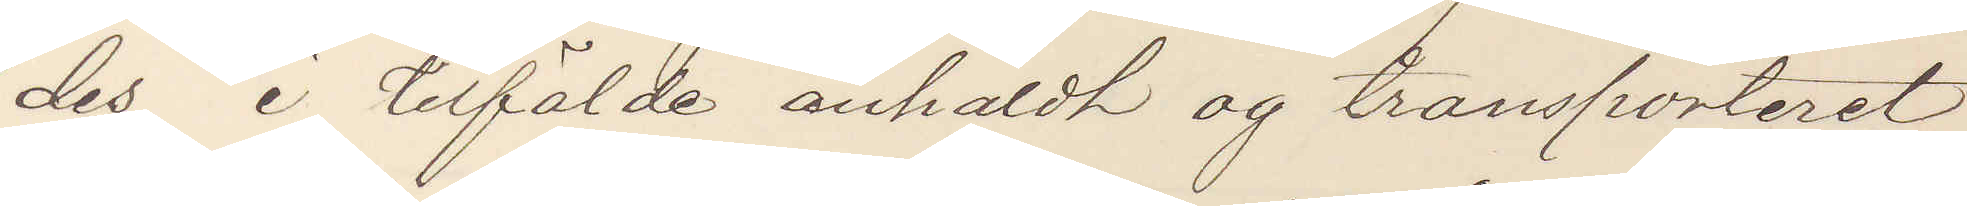des i tilfälde anhåldt og transporteret
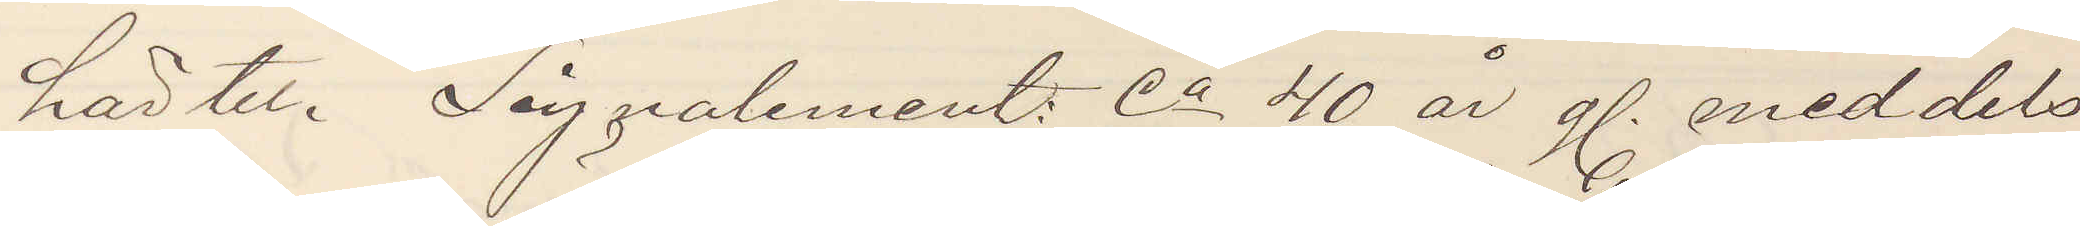härtil. Signalement: Ca 40 år g. meddels¬
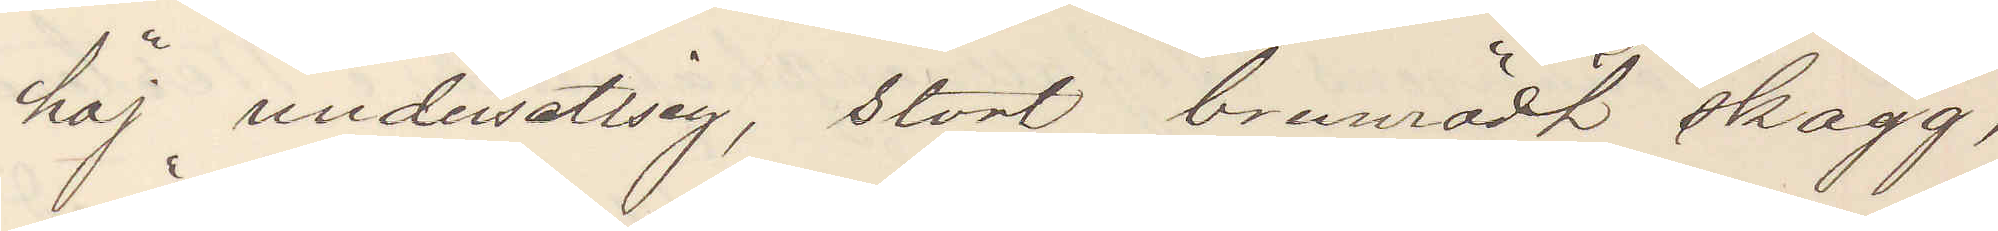höj undersettsig, stort brunrödt skägg,
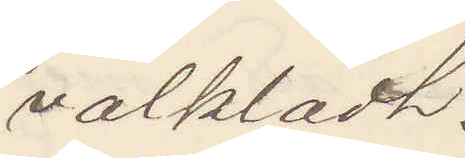välklädt.
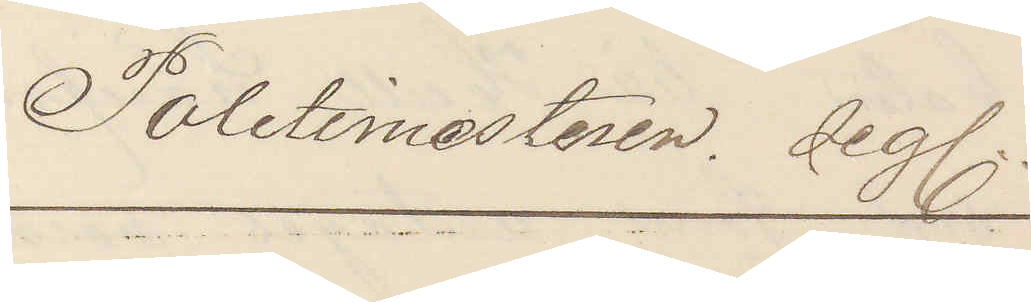Politimesteren. Seg.
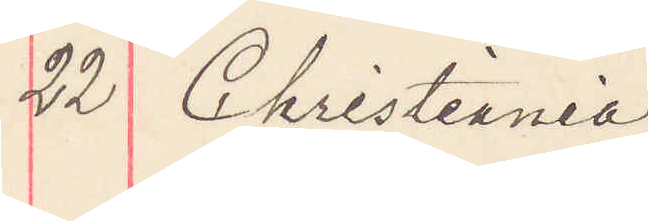22 Christiania
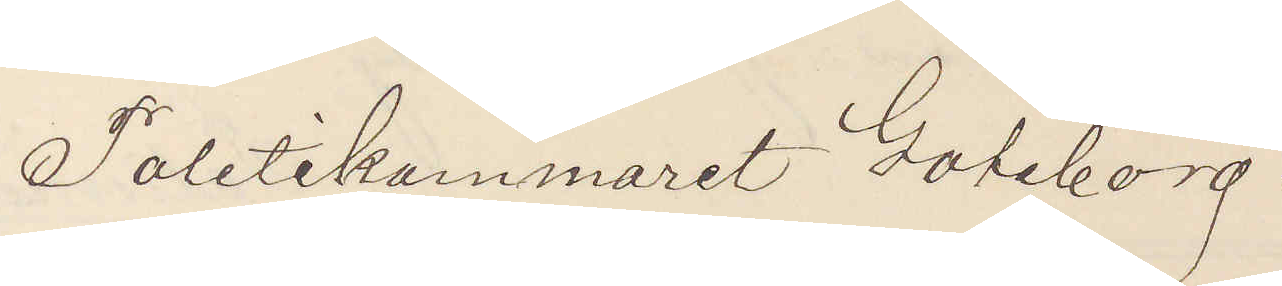Politikammeret Göteborg.
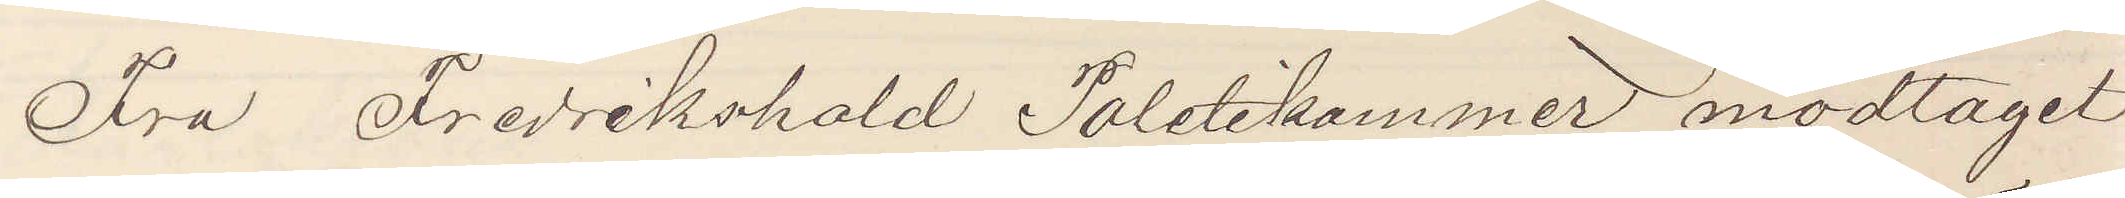Fra Fredrikshald Politikammer modtaget
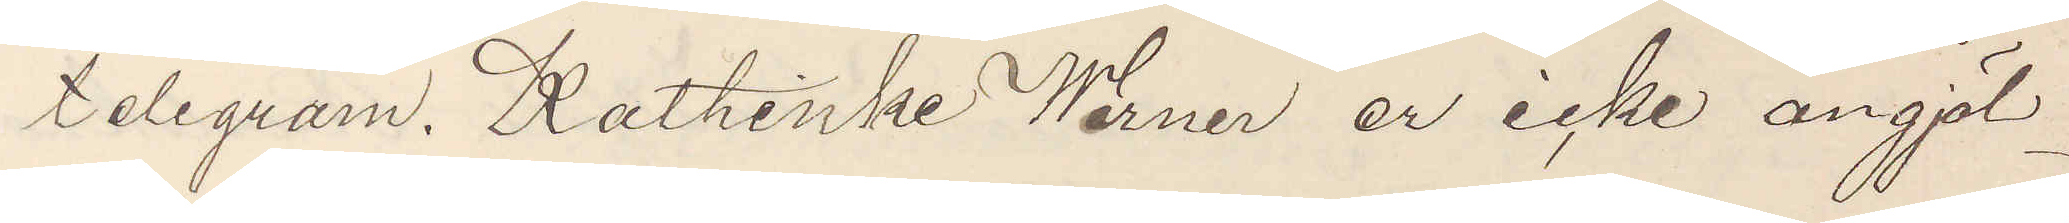telgram. Kathinke Werner er icke angjäl¬
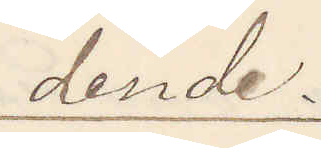dende.
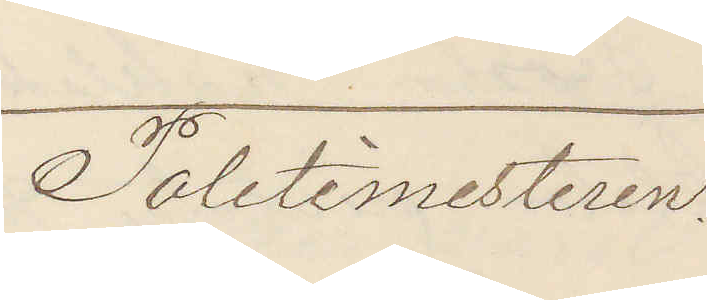Politimesteren.
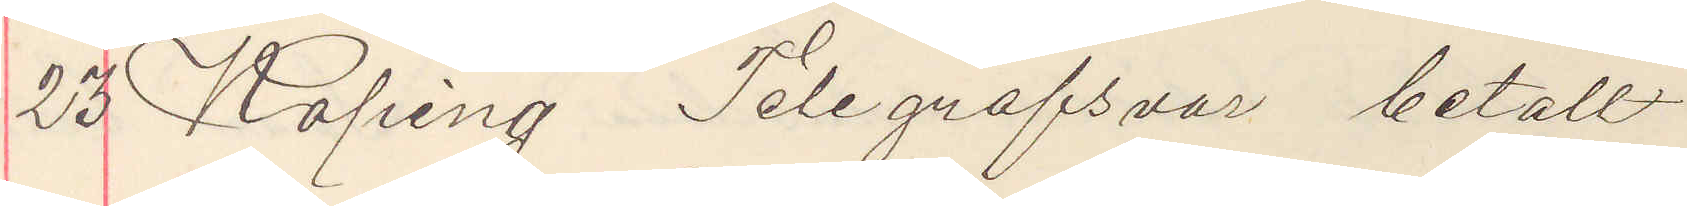23 Köping Telegrafsvar betalt
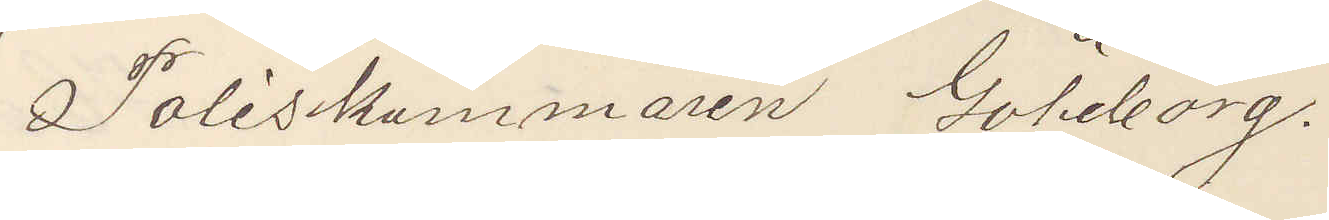Poliskammaren Göteborg.
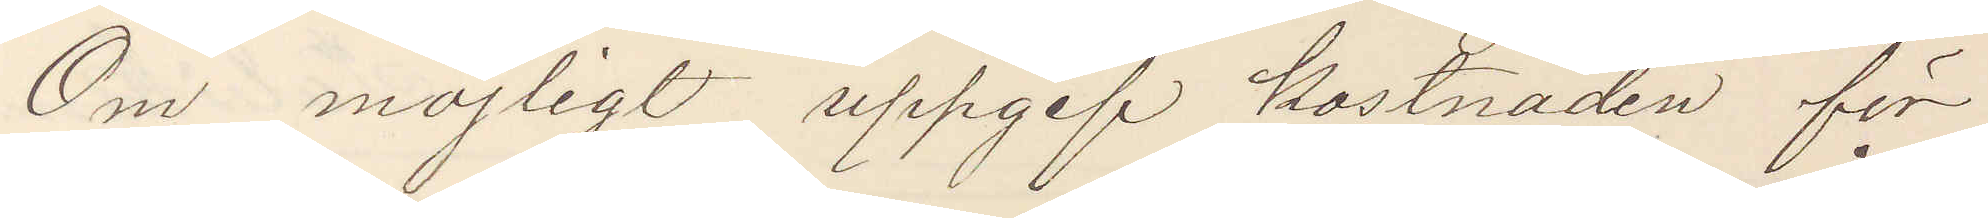Om möjligt uppgif Kostnaden för
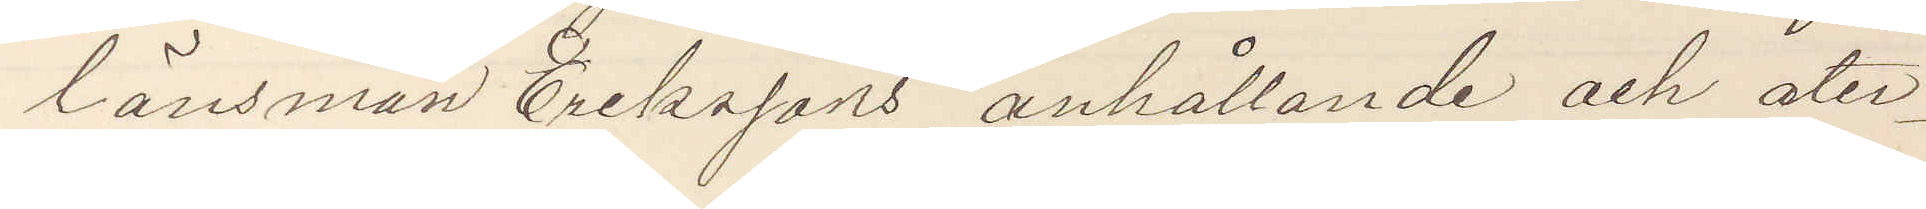länsman Erikssons anhållande och åter¬
